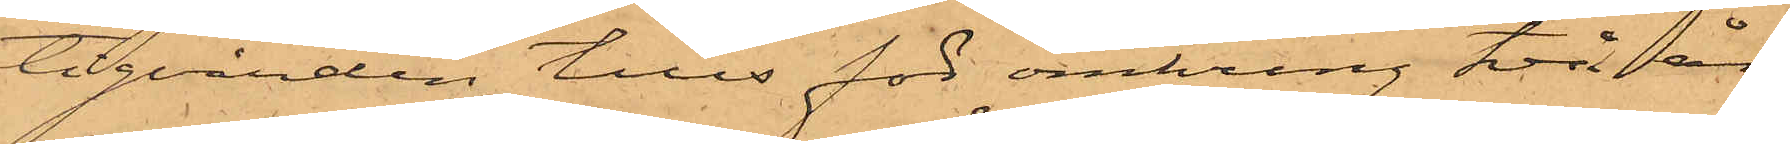tigvården tills för omkring två år
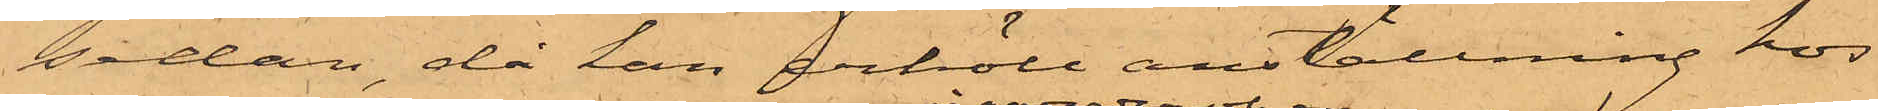sedan, då han erhöll anställning hos
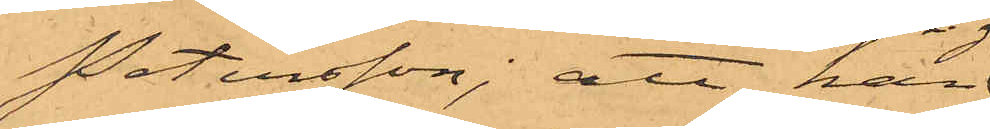Petersson; att han
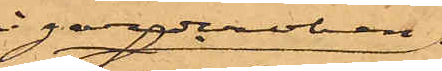i garderoben
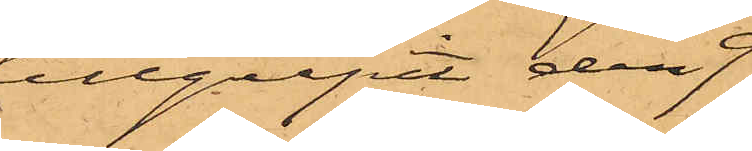tillgripit den 9
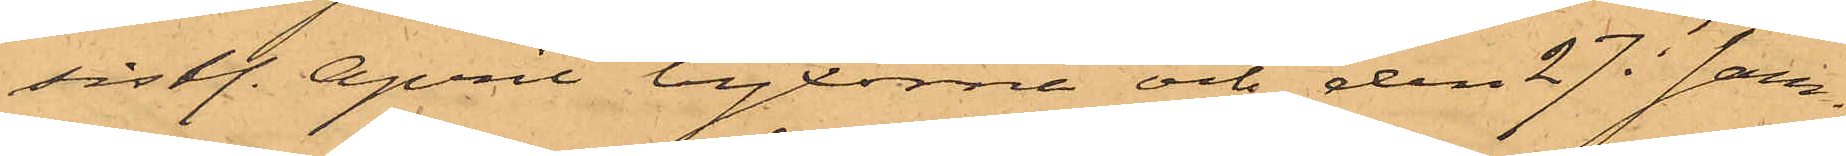sistl. April byxorna och den 27 i sam¬
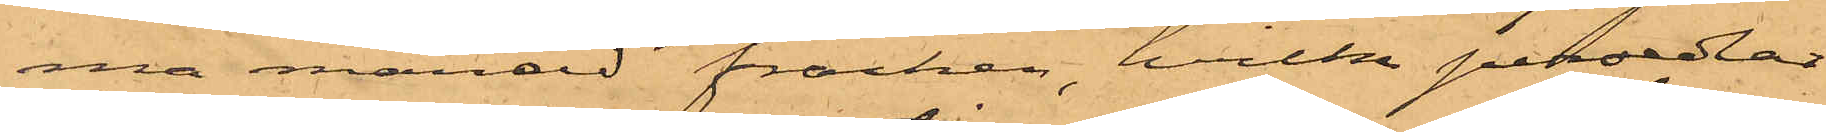ma månad fracken, hvilka persedlar
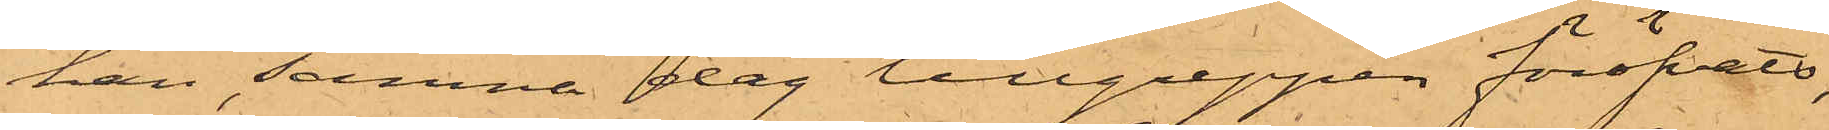han samma dag tillgreppen föröfvats,
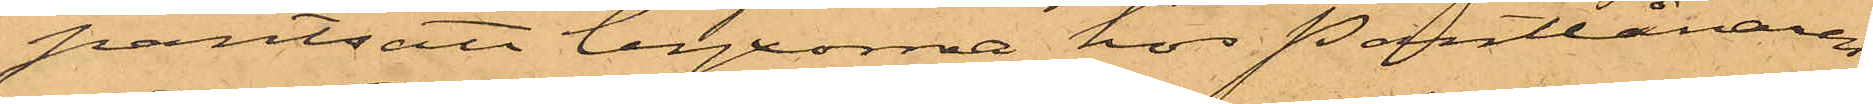pantsatt byxorna hos Pantlånaren
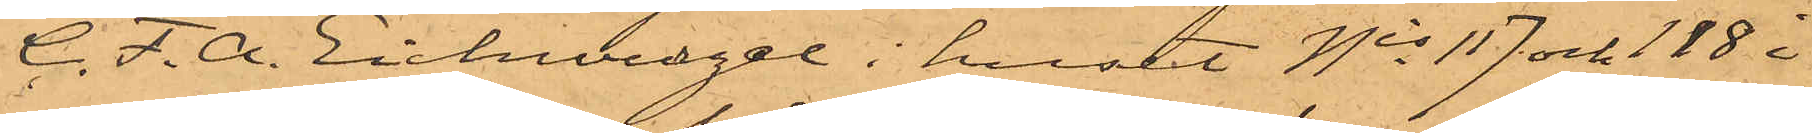C. F. A. Eichwurzel i huset Nis 117 och 118 i
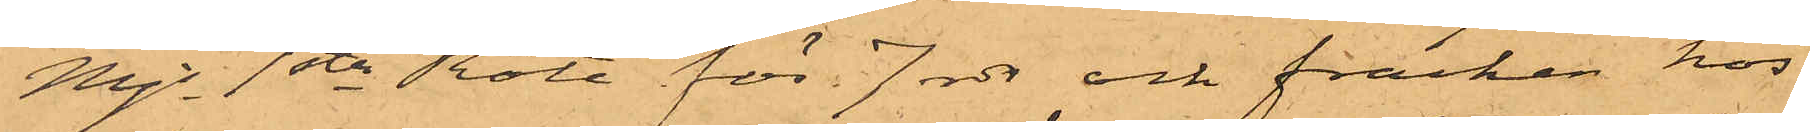Mjs 1sta Rote för 7 rdr och fracken hos
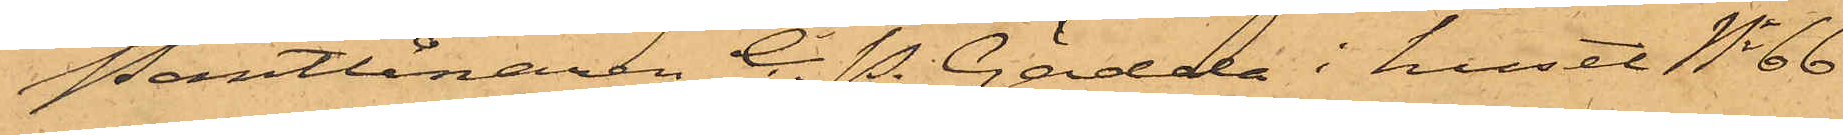Pantlånaren C. P. Gädda i huset No 66
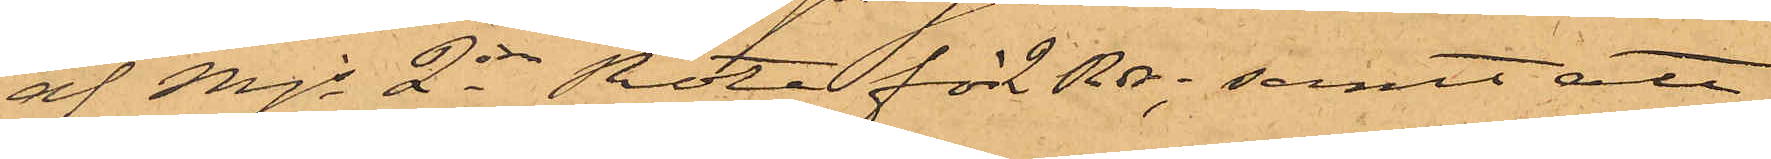af Mjs 2dra Rote för 2 Rdr; samt att
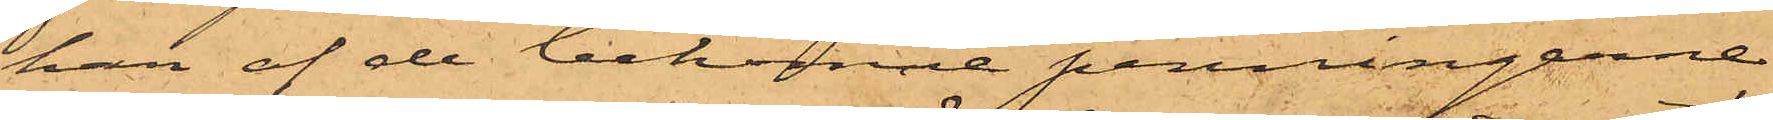han af de bekomne penningarne
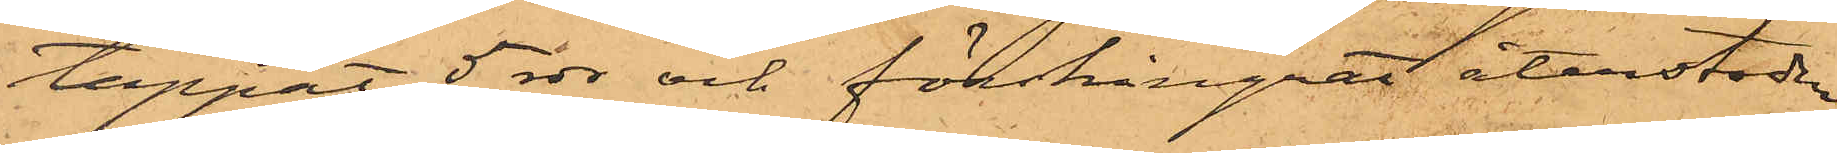tappat 5 rdr och förskingrat återstoden
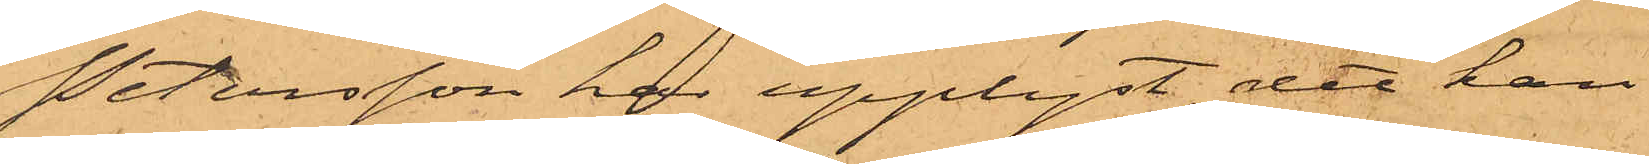Petersson har upplyst, att han
